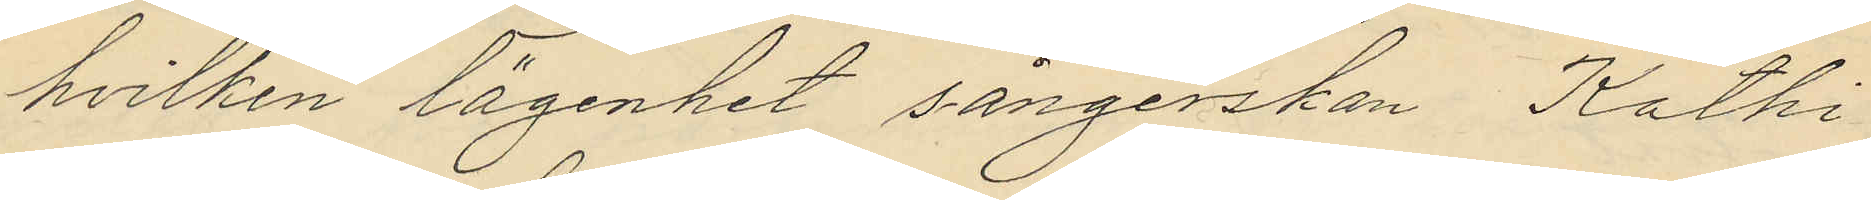hvilken lägenhet sångerskan Kathi
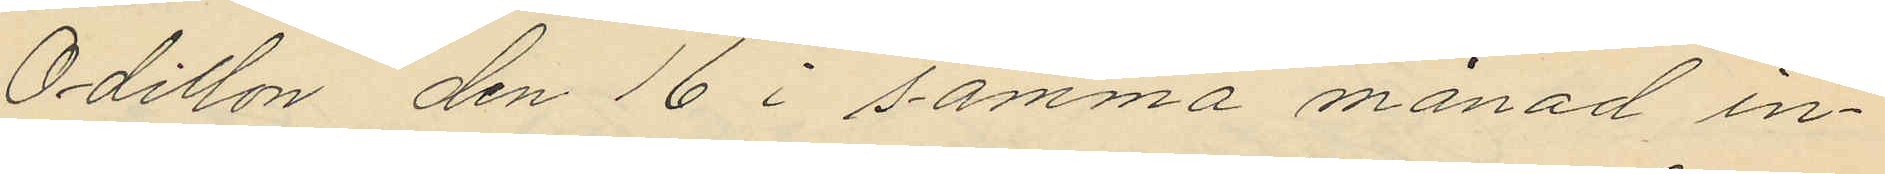Odillon den 16 i samma månad in¬
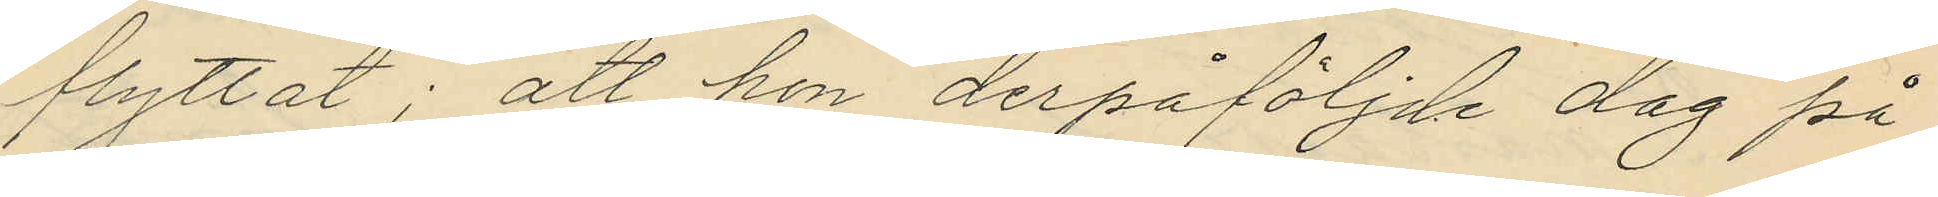flyttat: att hon derpåföljde dag på
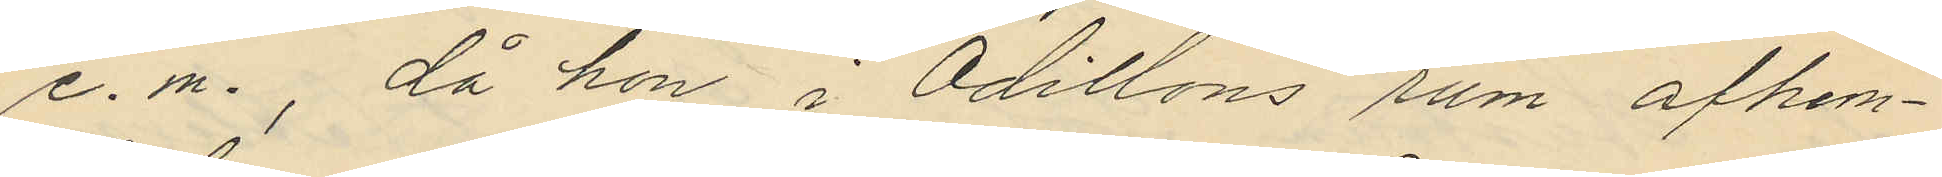e. m., då hon i Odillons rum afhem¬
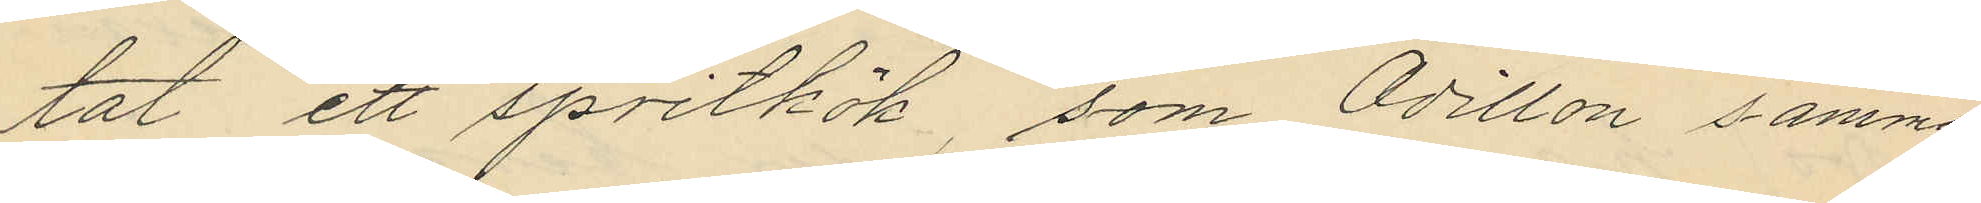tat ett spritkök, som Odillon samma
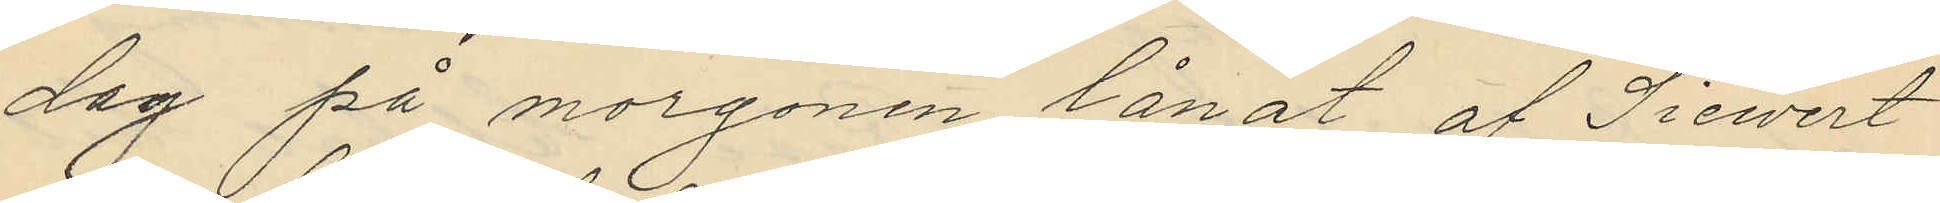dag på morgonen lånat af Sievert
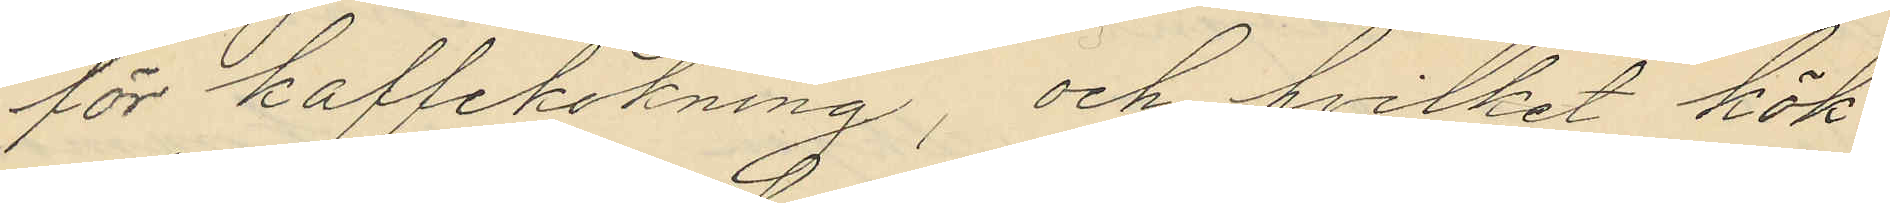för kaffekokning, och hvilket kök
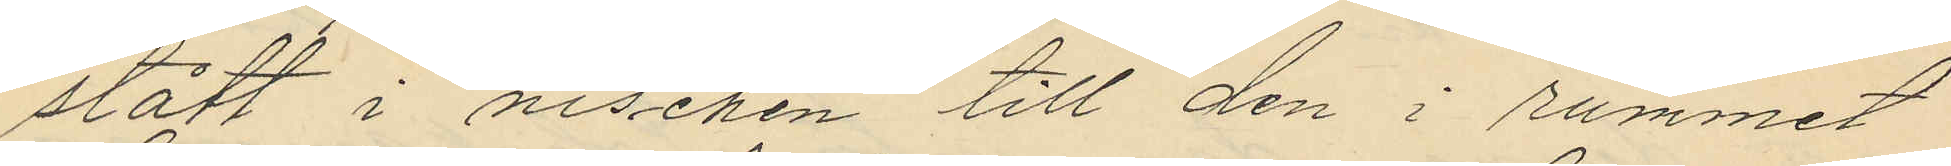stått i nischen till den i rummet
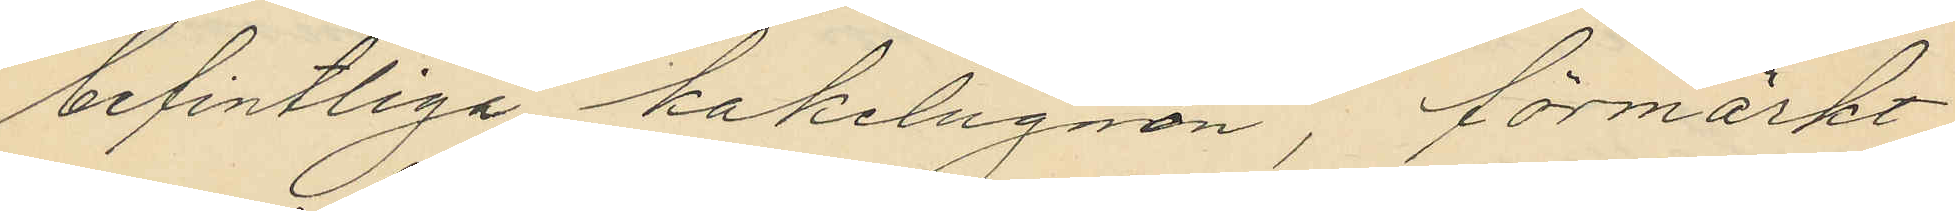befintliga kakelugnen, förmärkt
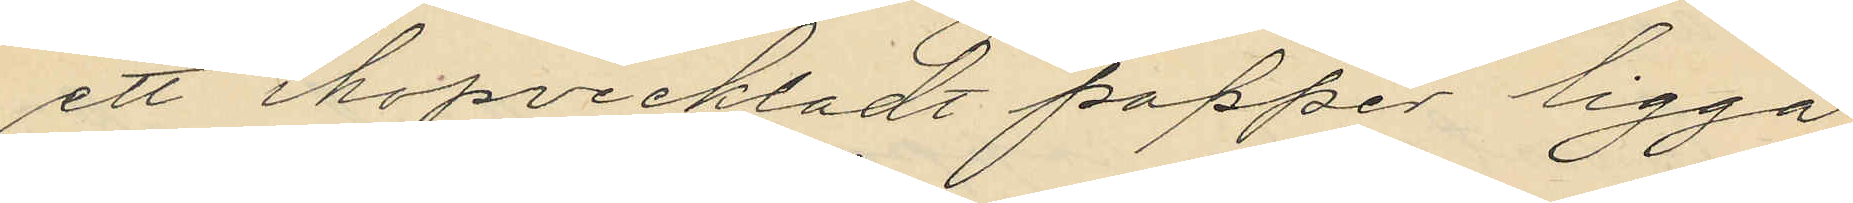ett ihopveckladt papper ligga
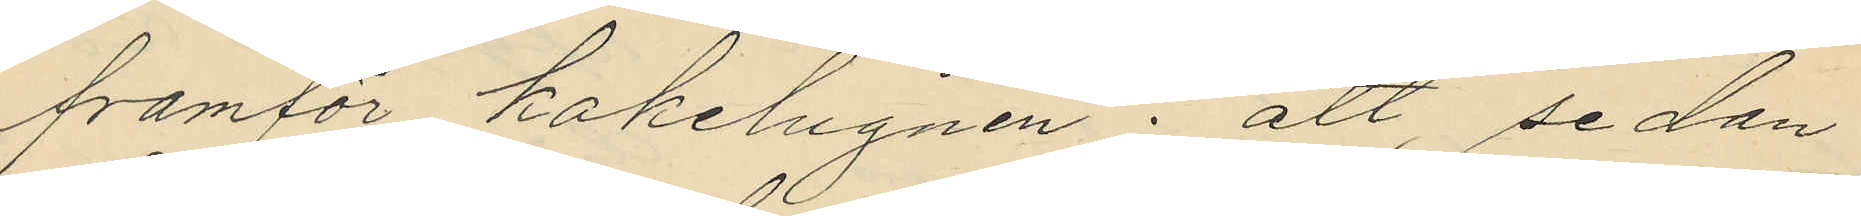framför kakelugnen; att, sedan
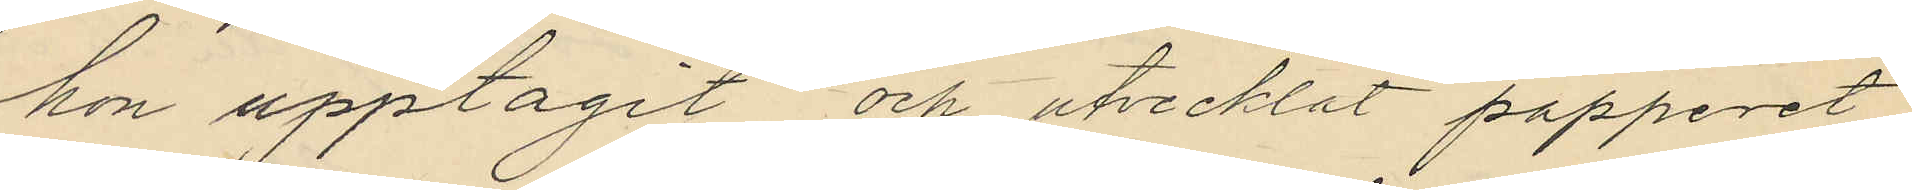hon upptagit och utvecklat papperet
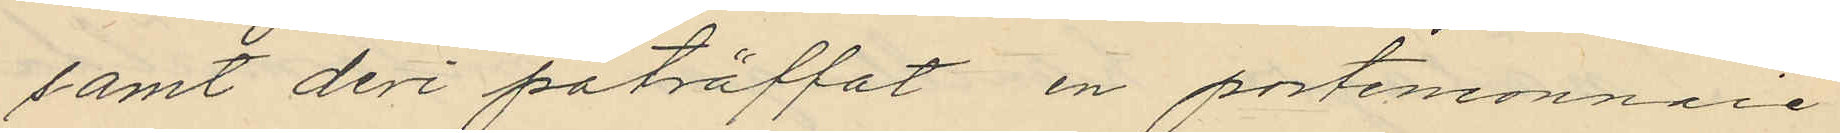samt deri påträffat en portemonnaie
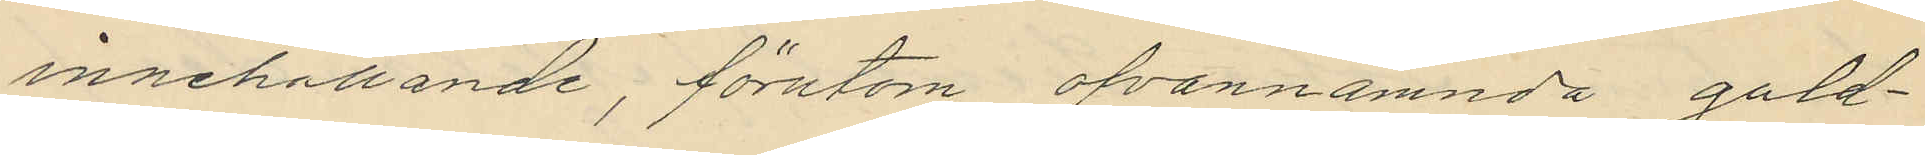innehållande, förutom ofvannämnda guld¬
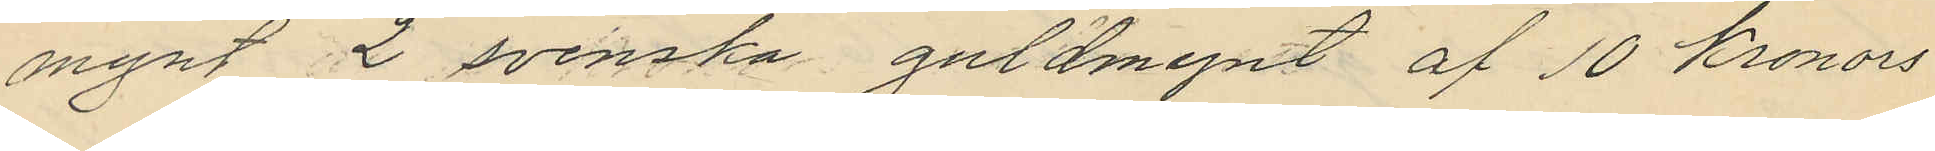mynt 2 svenska guldmynt af 10 Kronors
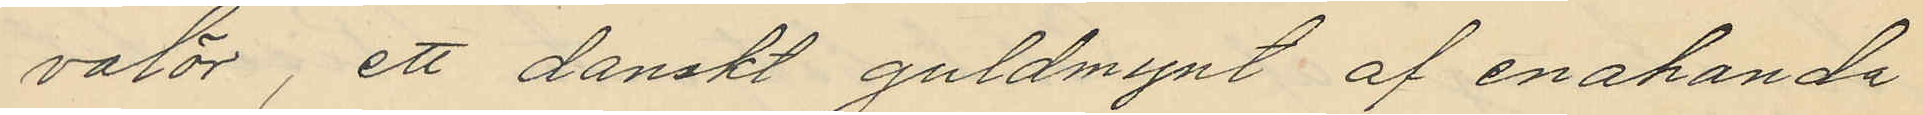valör, ett danskt guldmynt af enahanda
